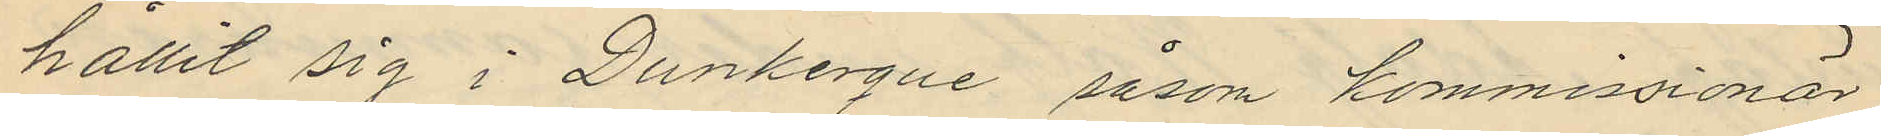hållit sig i Dunkerque såsom kommissionär
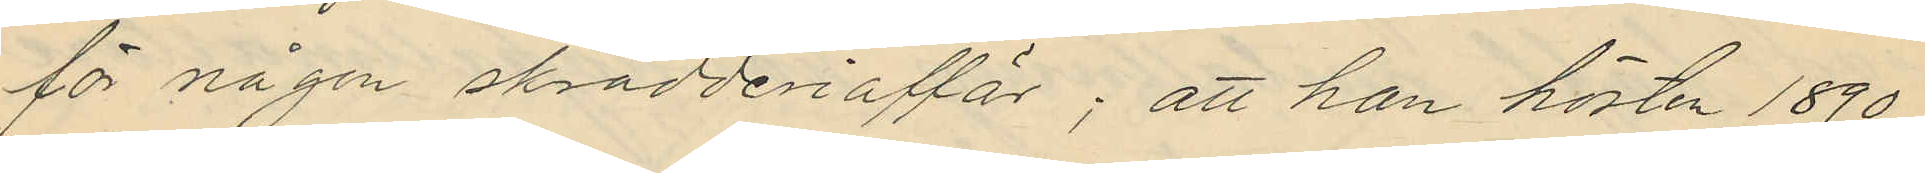för någon skrädderiaffär; att han hösten 1890
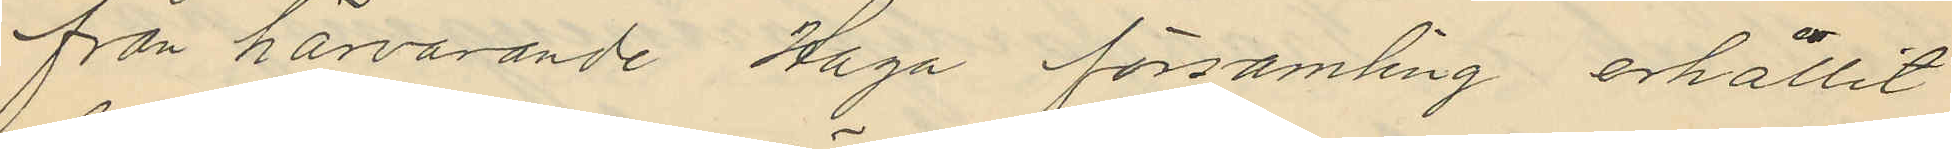från härvarande Haga församling erhållit
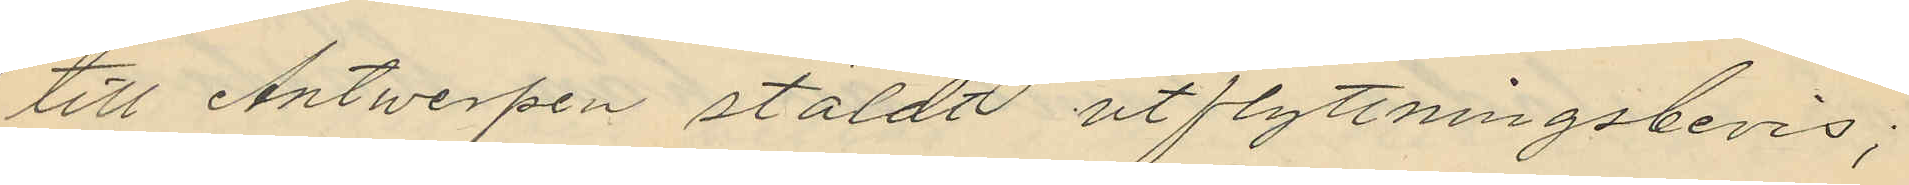till Antwerpen stäldt utflyttningsbevis;
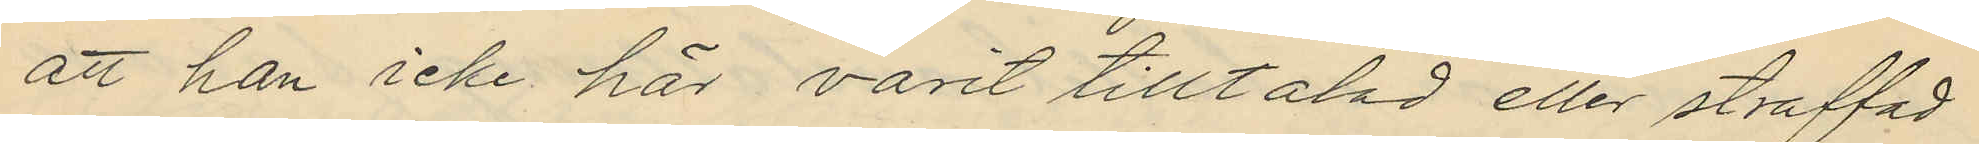att han icke här varit tilltalad eller straffad
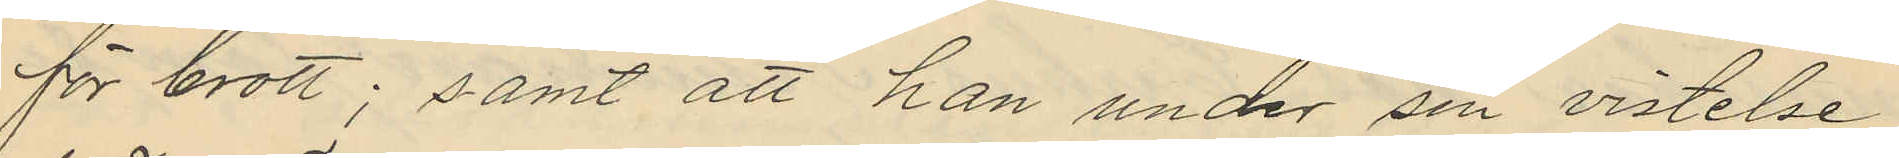för brott; samt att han under sin vistelse
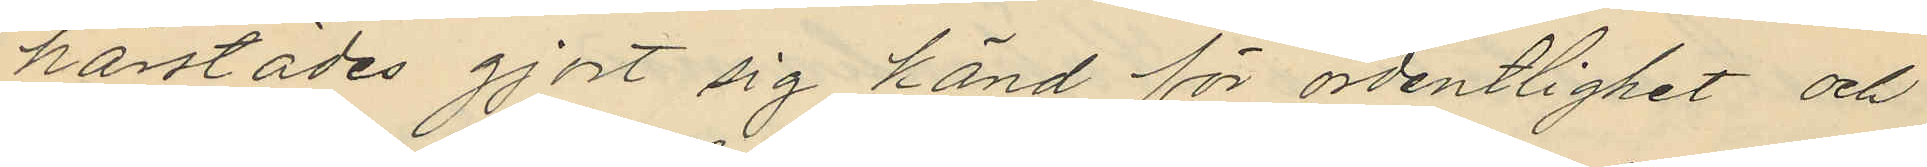härstädes gjort sig känd för ordentlighet och
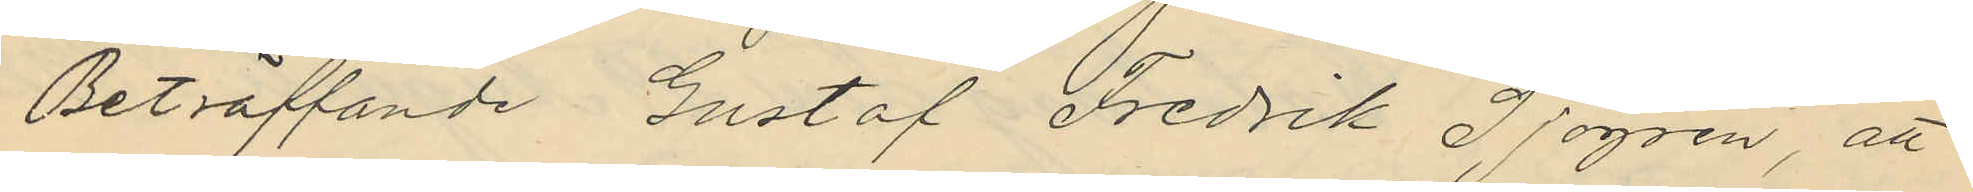Beträffande Gustaf Fredrik Sjögren, att
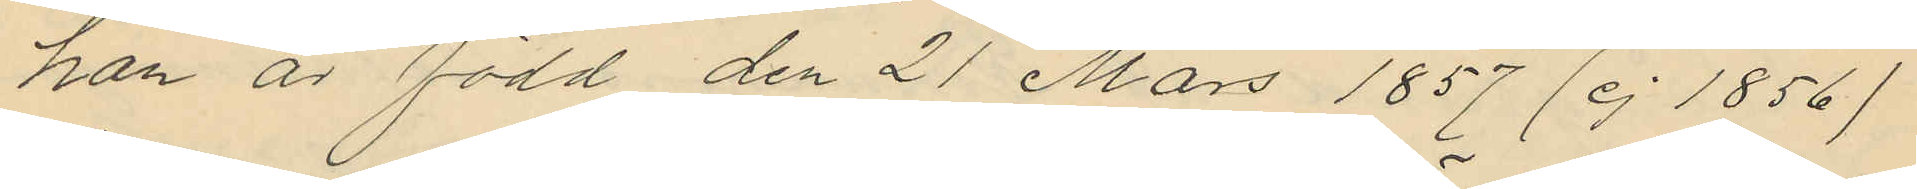han är född den 21 Mars 1857 (ej 1856)
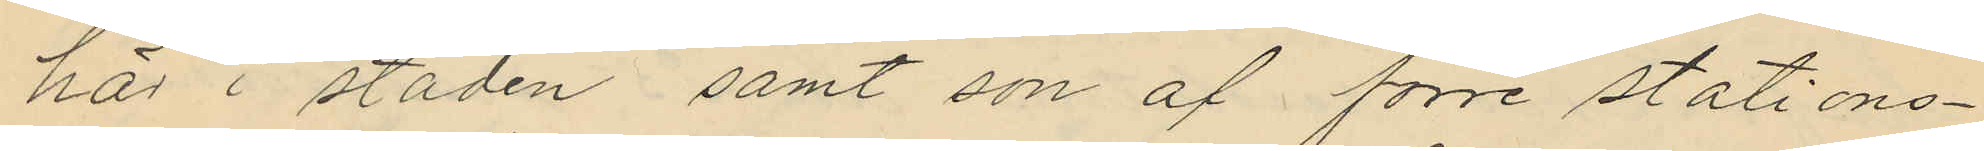här i staden samt son af förre stations¬
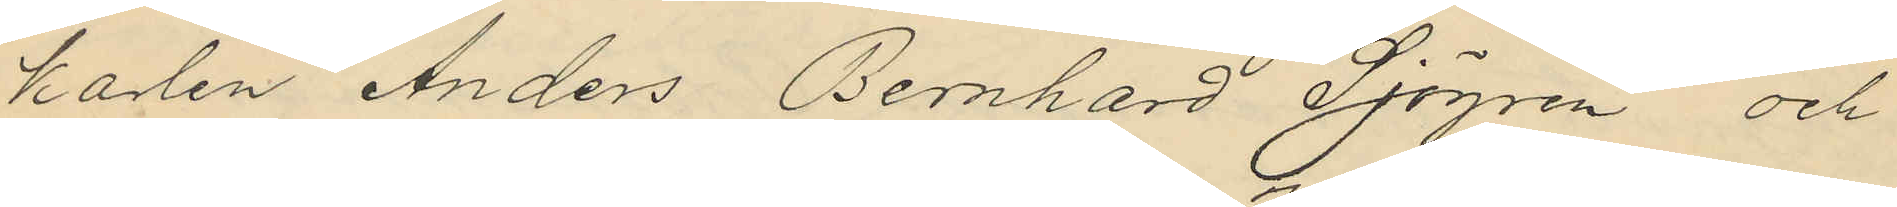karlen Anders Bernhard Sjögren och
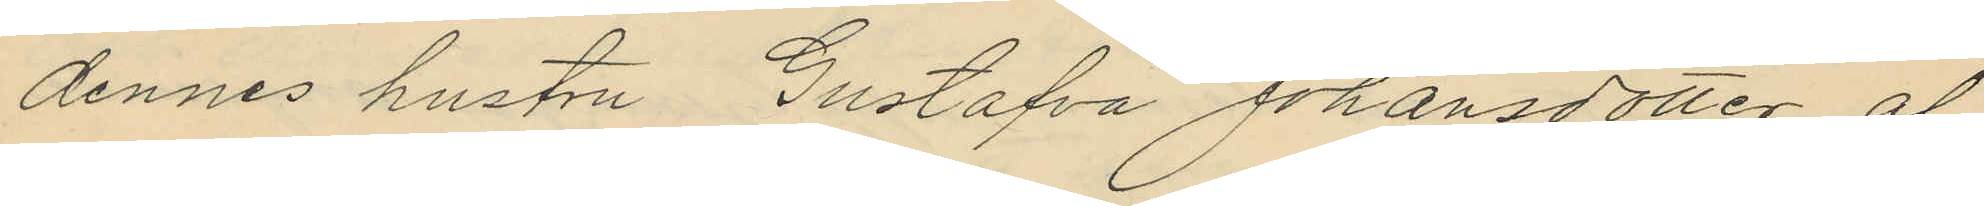dennes hustru Gustafva Johansdotter, af
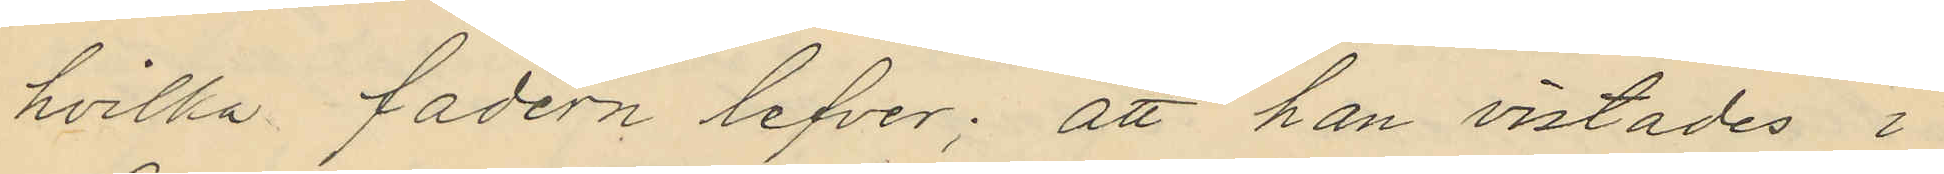hvilka fadern lefver; att han vistades i
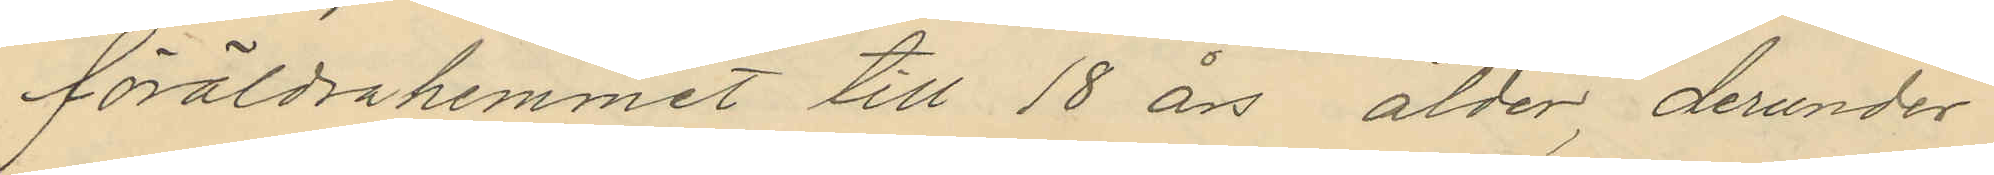föräldrahemmet till 18 års, ålder derunder
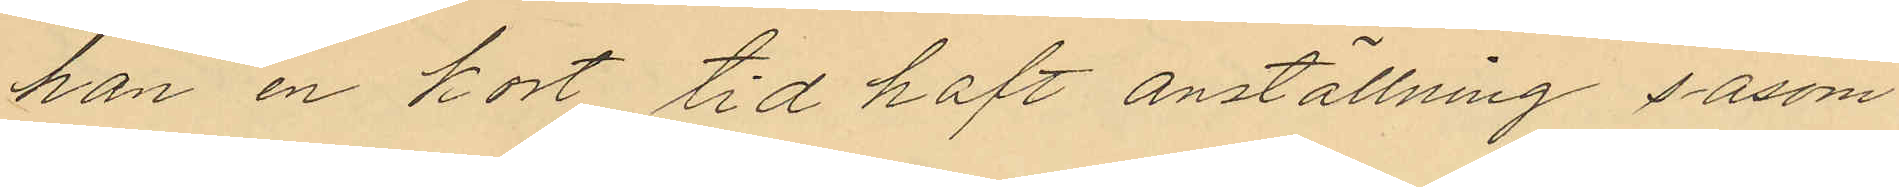han en kort tid haft anställning såsom
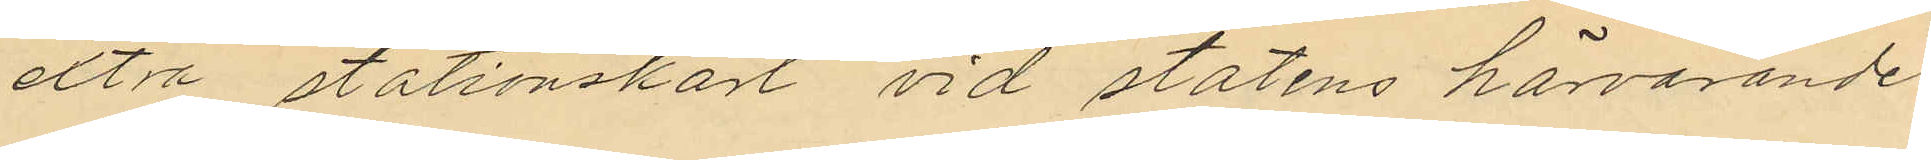extra stationskarl vid statens härvarande
